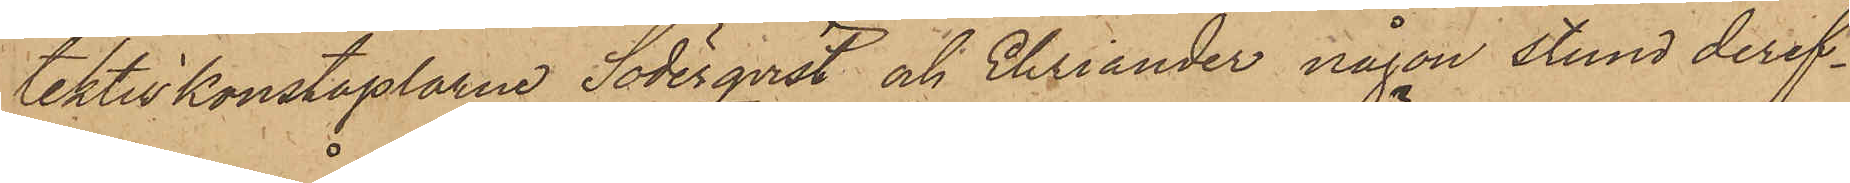tektivkonstaplarne Söderqvist och Ehriander någon stund deref¬
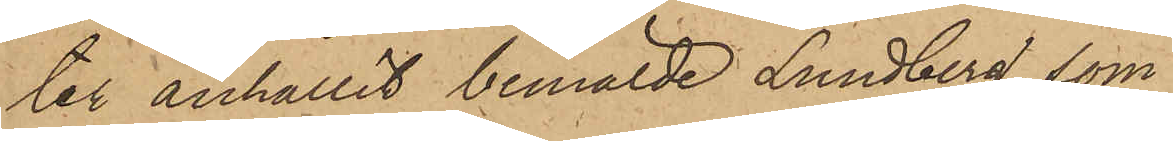ter anhållit bemälde Lundberg, som
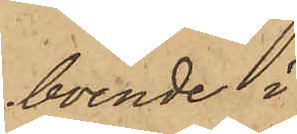boende i
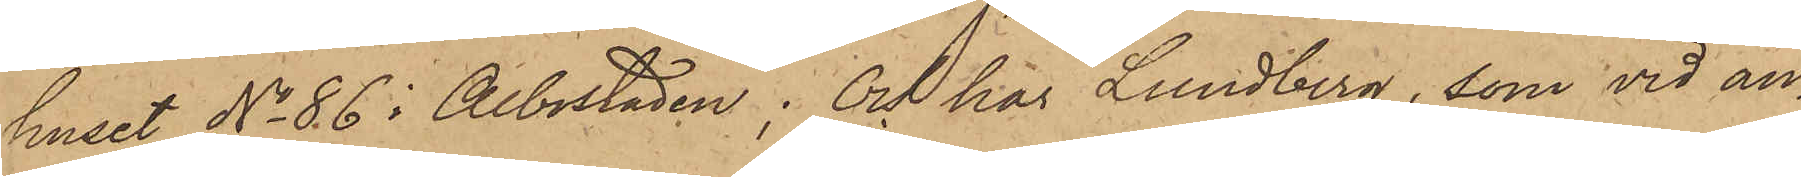huset No 86 i Albostaden; Och har Lundberg, som vid an¬
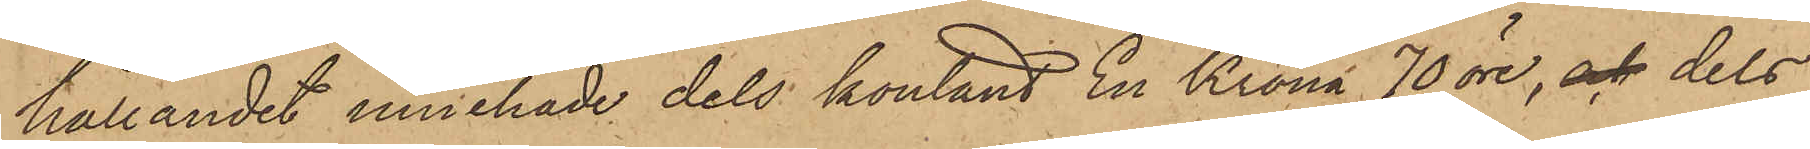hållandet innehade dels kontant En Krona 70 öre, och dels
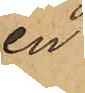en
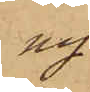ny
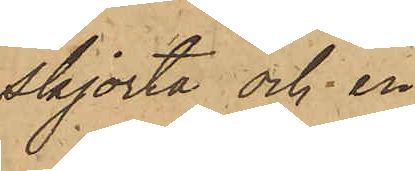skjorta och en
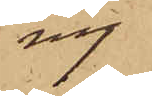ny
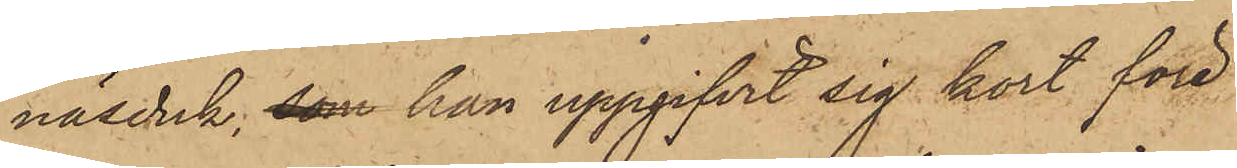näsduk; som han uppgifvit sig kort före
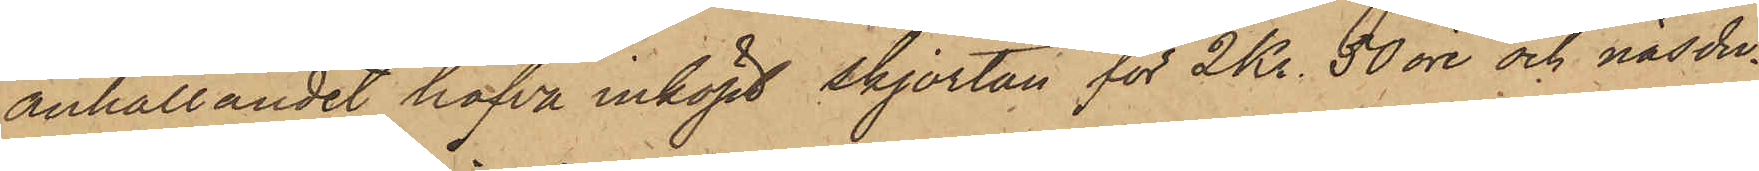anhållandet hafva inköpt skjortan för 2 Kr. 50 öre och näsdu¬
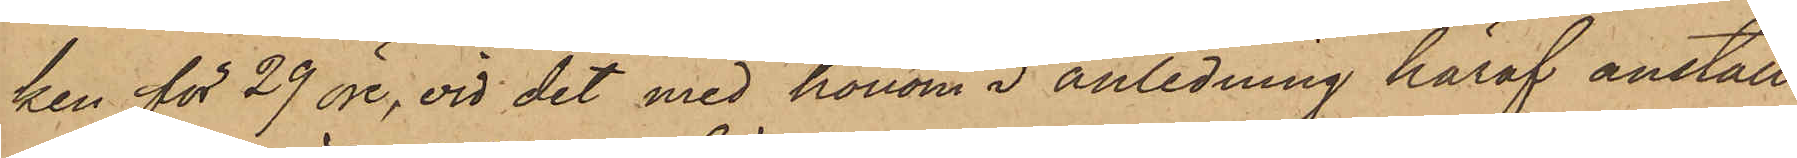ken för 29 öre, vid det med honom i anledning häraf anställ¬
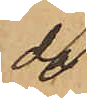da
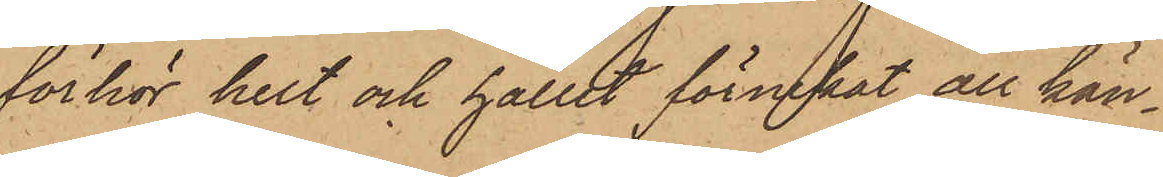förhör helt och hållit förnekat all kän¬
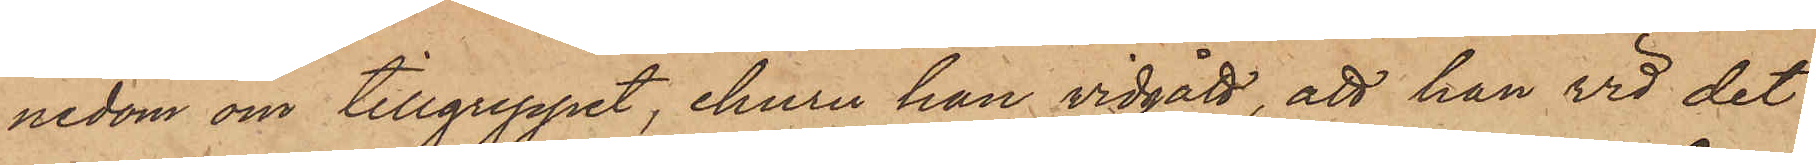nedom om tillgreppet, ehuru han vidgått, att han vid det
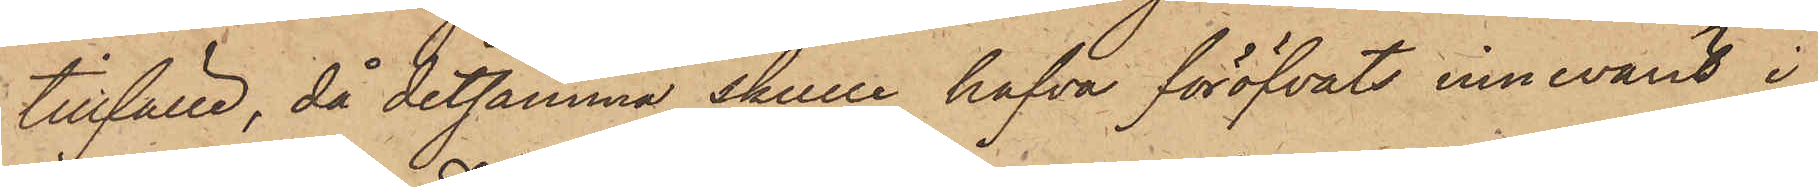tillfälle, då detsamma skulle hafva föröfvats innevarit i
